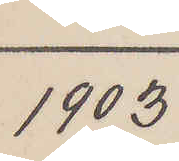1903
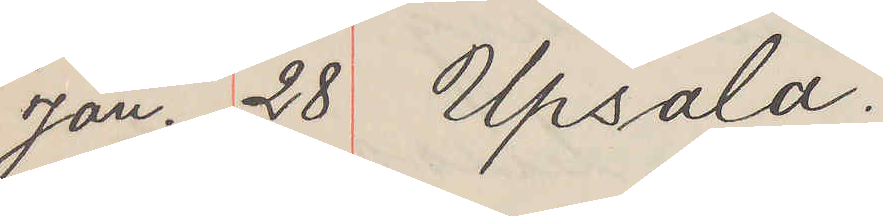Jan. 28 Upsala.
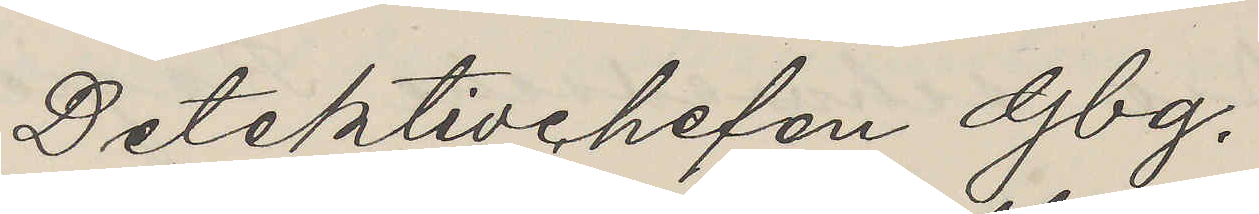Detektivchefen Gbg.
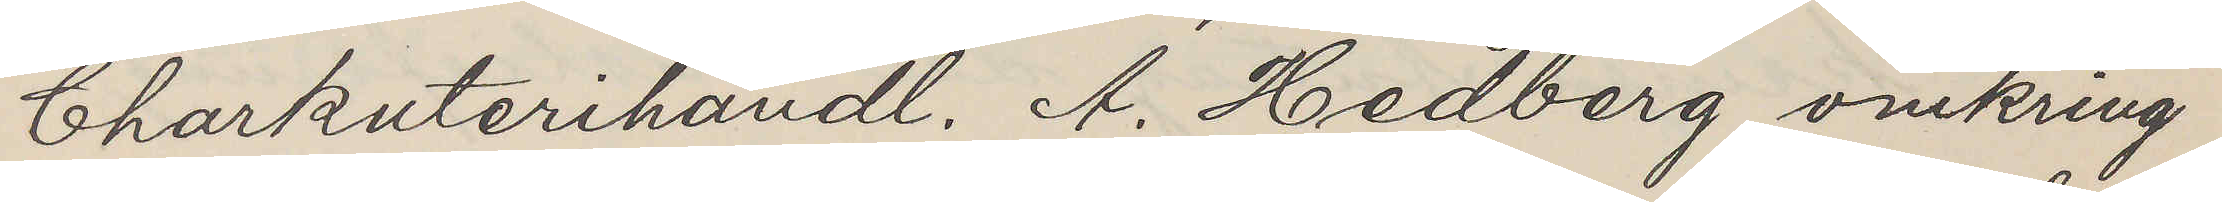Charkuterihandl. A. Hedberg omkring
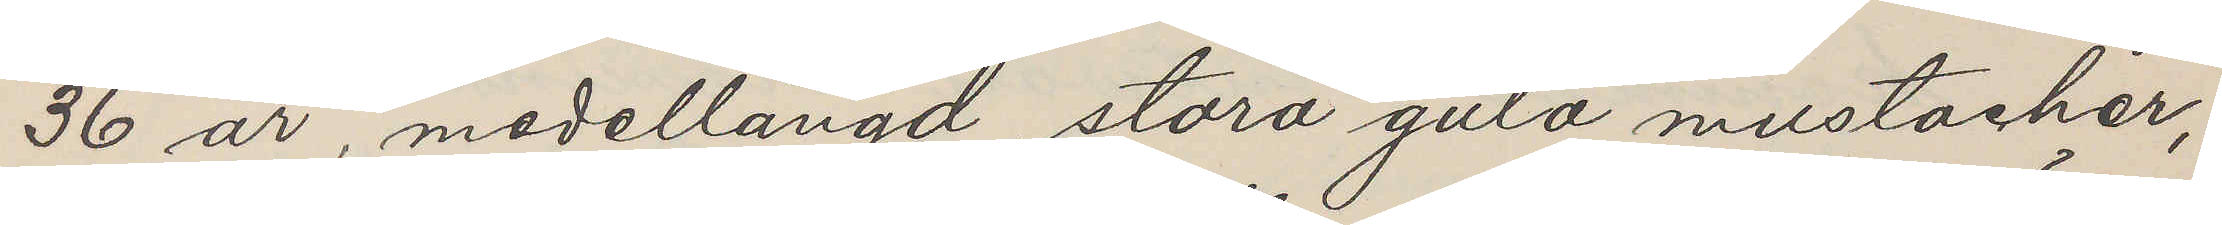36 år, medellängd, stora gula mustacher,
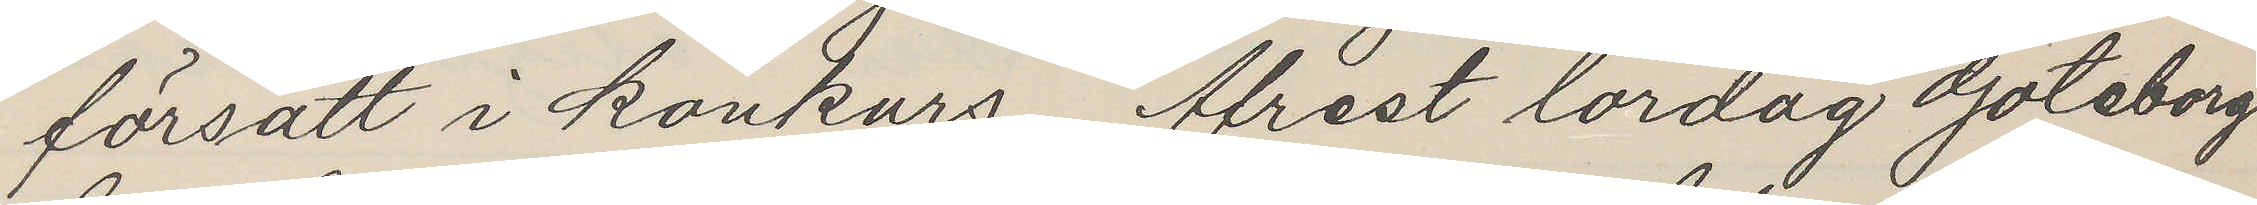försatt i kankars. Afrest lördag Göteborg
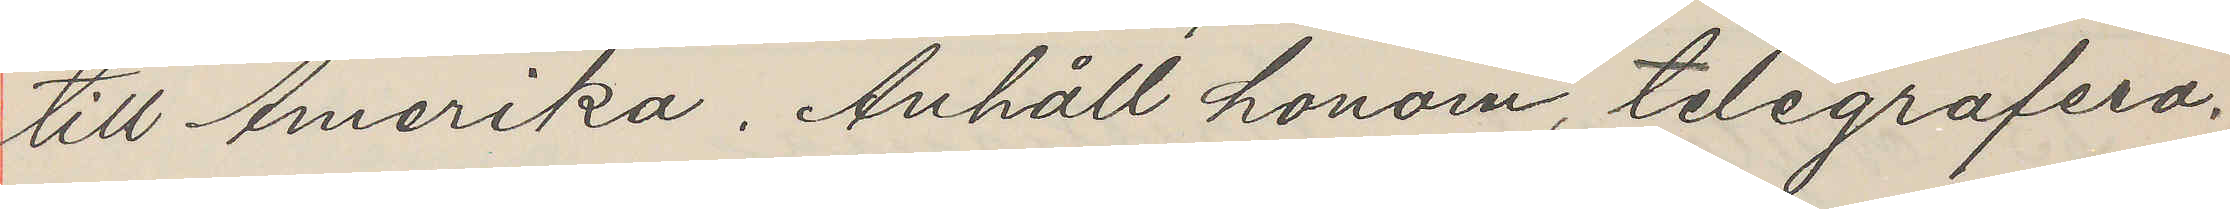till Amerika. Anhåll honom, telegrafera.
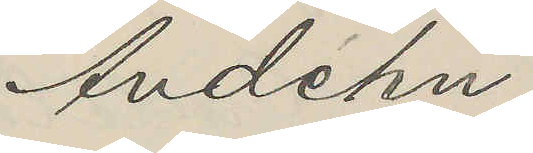Andéhn
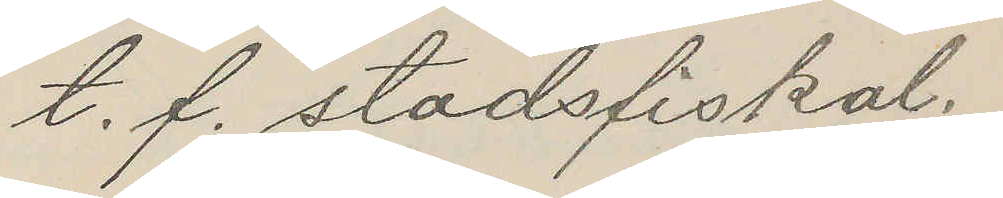t. f. stadsfiskal.
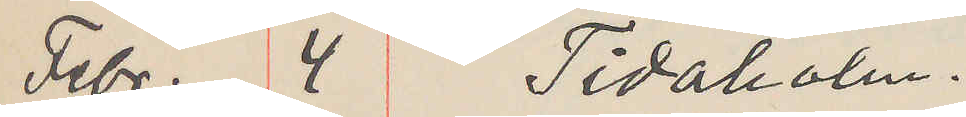Febr. 4 Tidaholm.
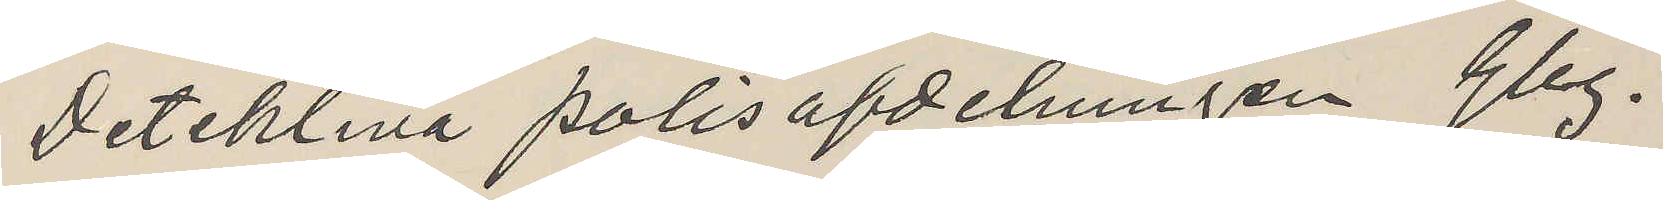Detektiva polisafdelningen Gbg.
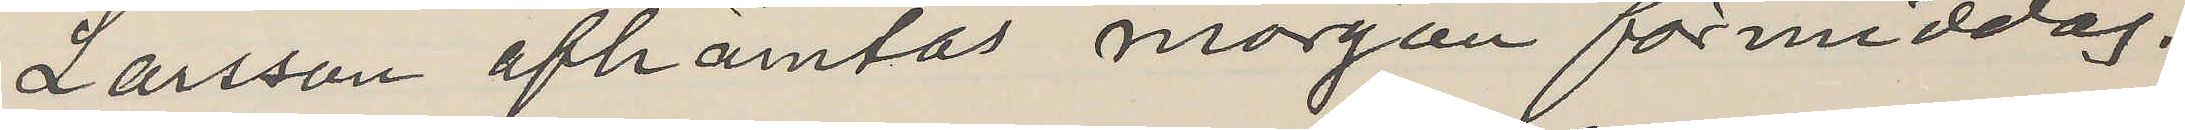Larsson afhämtas morgon förmiddag.
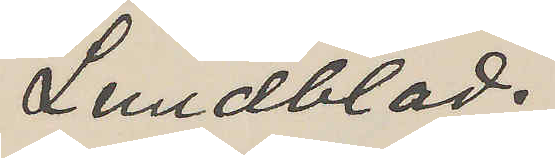Lundblad.
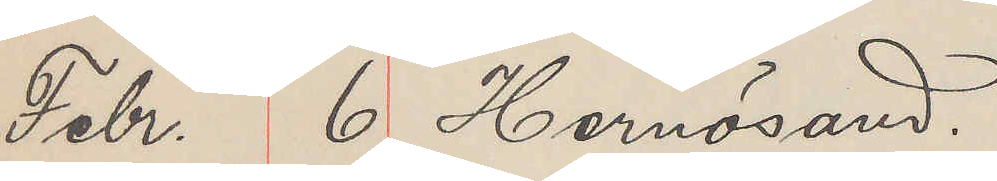Febr. 6 Hernösand.
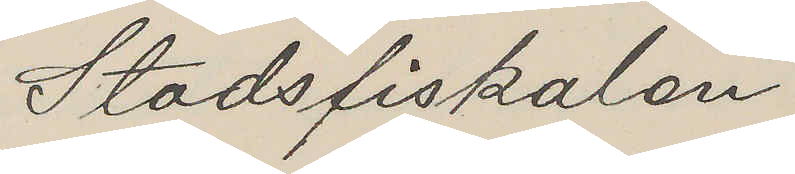Stadsfiskalen
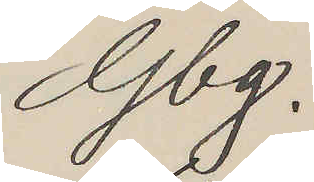Gbg.
